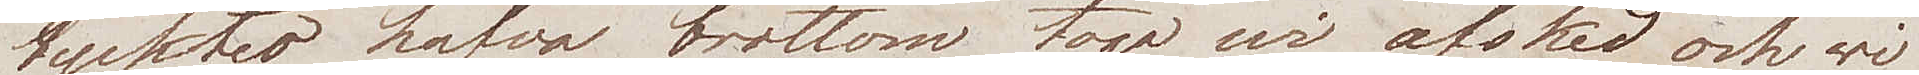tycktes hafva brottom togo wi afsked och wi
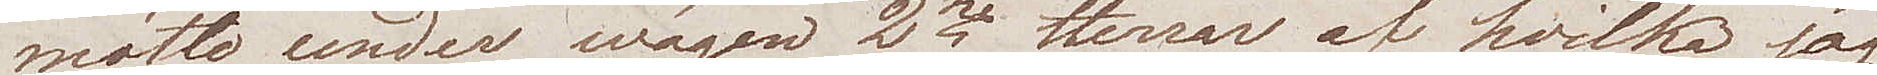mötte under wägen 2ne Herrar af hvilka jag
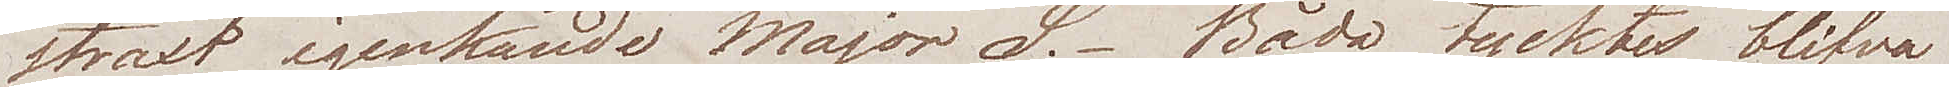straxt igenkände Major S. Båda tycktes blifva
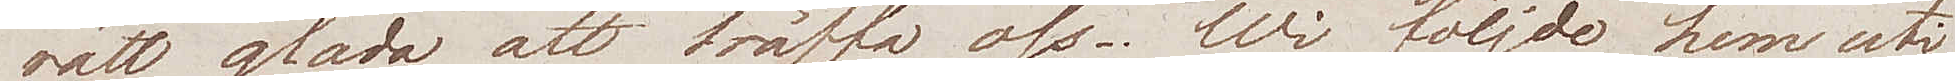rätt glada att träffa oss. Wi följde hem uti
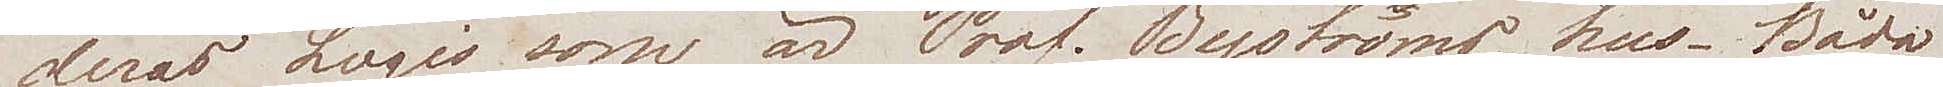deras Logis som är Prof. Byströms hus. Båda
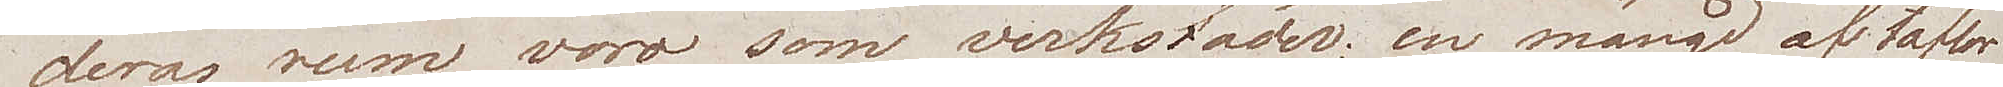deras rum woro som verkstäder, en mängd af taflor
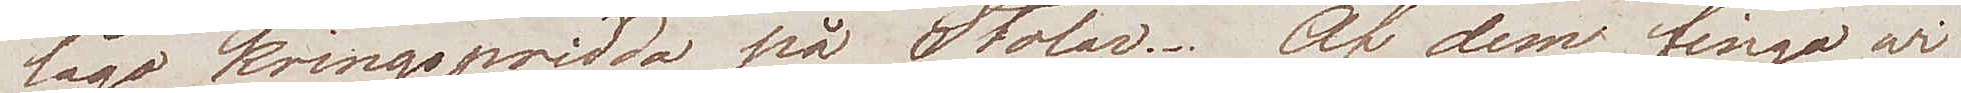lågo kringspridda på Stolar. Af dem fingo wi
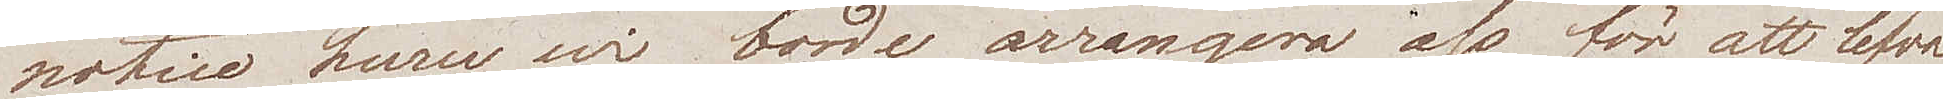notice huru wi borde arrangera oss för att lefva
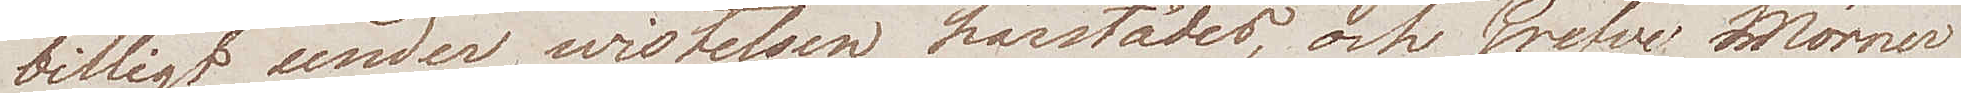billigt under wistelsen härstädes, och Grefve Mörner
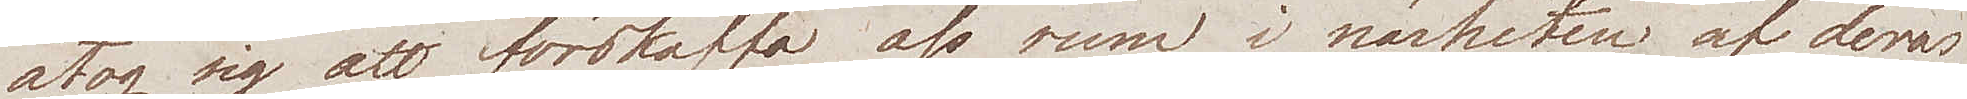åtog sig att förskaffa oss rum i närheten af deras
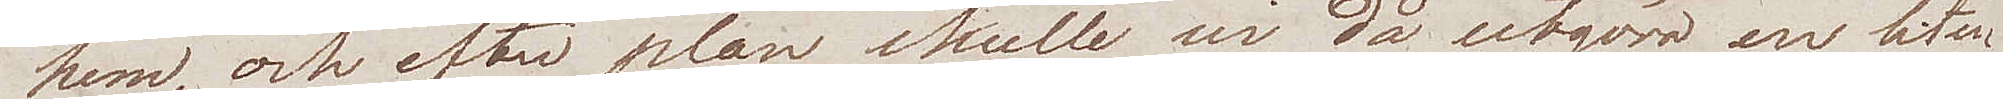hem, och efter plan skulle wi då utgöra en liten
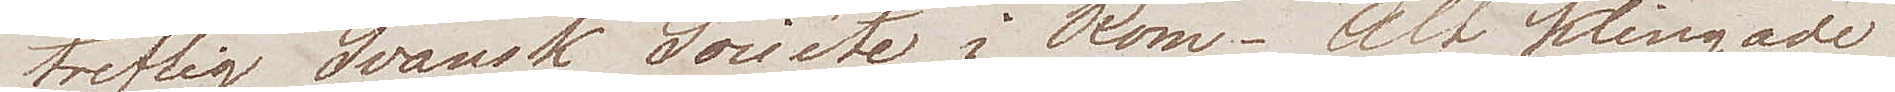treflig Svänsk Société i Rom. Alt klingade
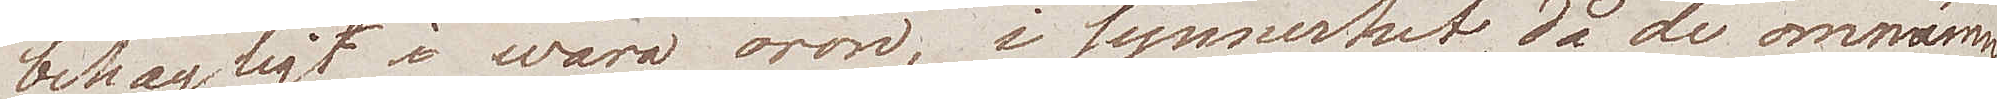behagligt i wåra öron, i synnerhet då de omnämn¬
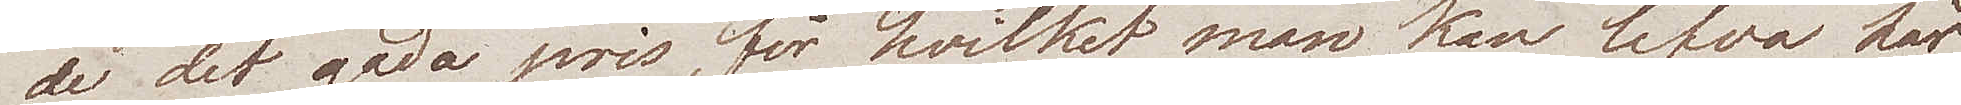de det goda pris, för hvilket man kan lefva här
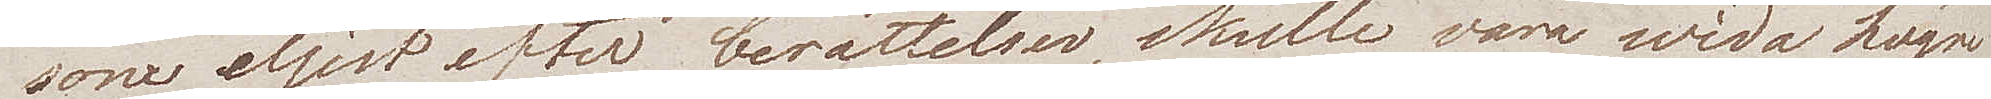som eljest efter berättelsen, skulle vara wida högre 
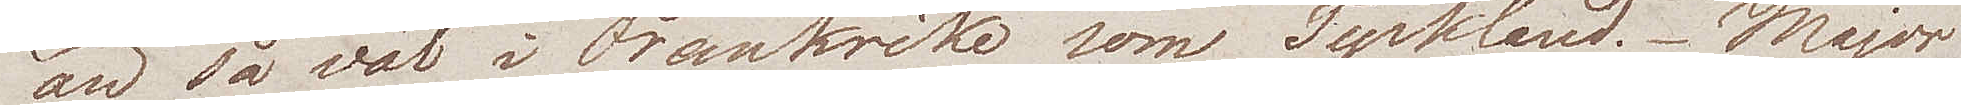än så väl i Frankrike som Tyskland. Major
